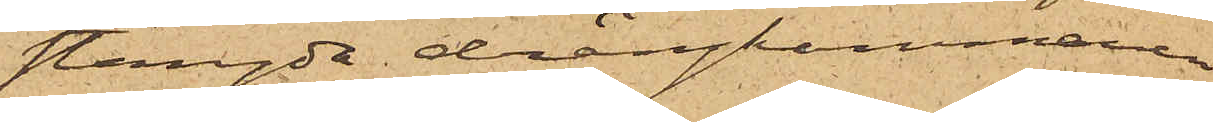stängda drängkammaren
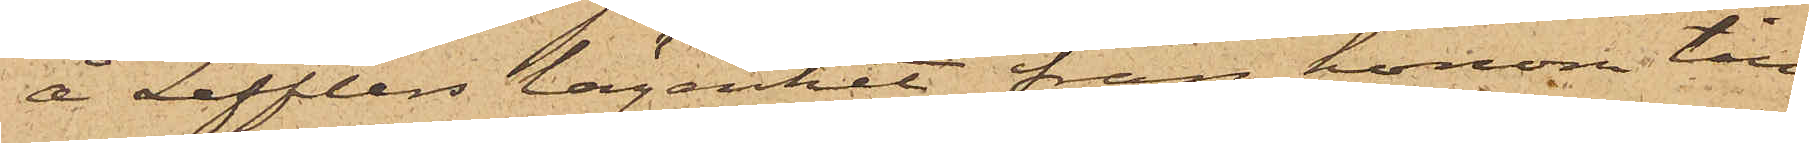å Lefflers lägenhet från honom till¬
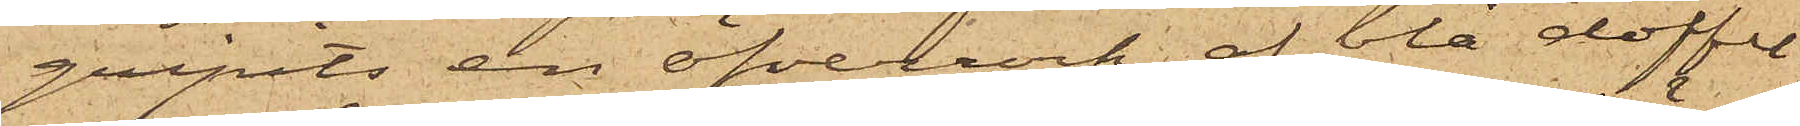gripits en öfverrock af blå doffel
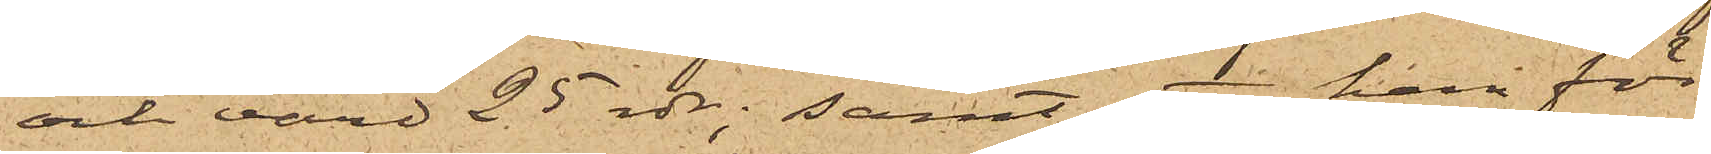och värd 25 rdr; samt att han för
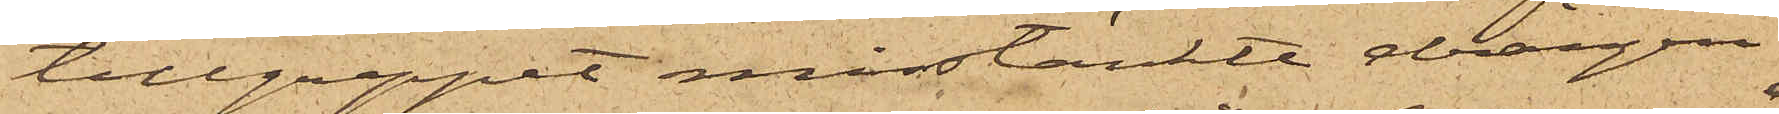tillgreppet misstänkte drängen
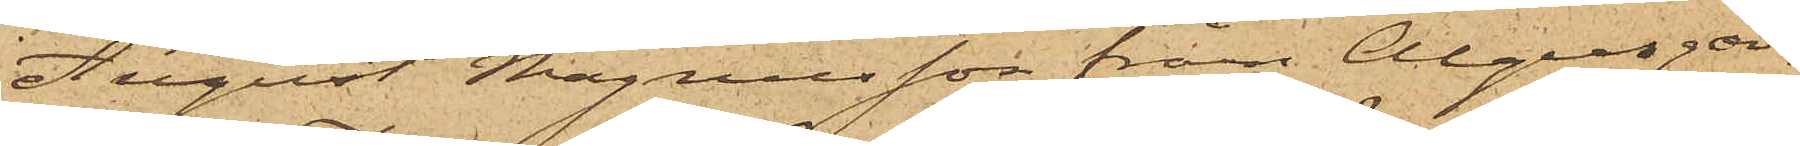August Magnusson fram Algusgår¬
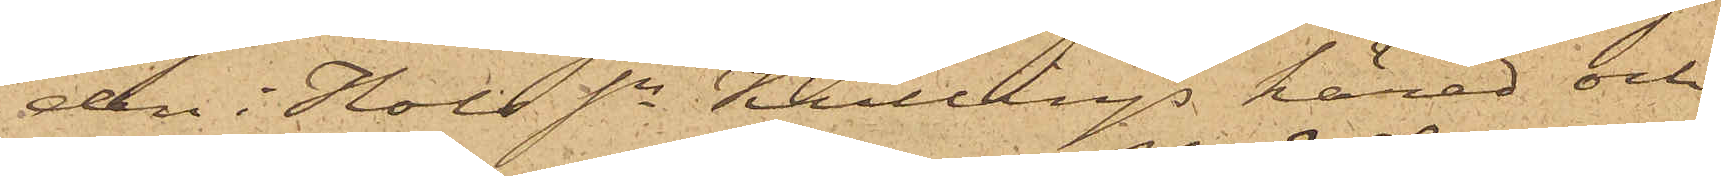den i Hols Sn Kullings härad och
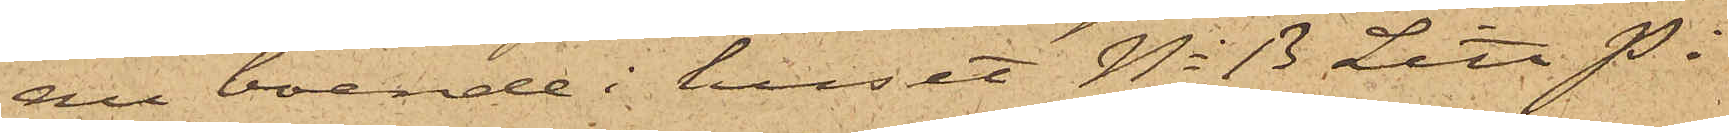nu boende i huset No 13 Litt. P i
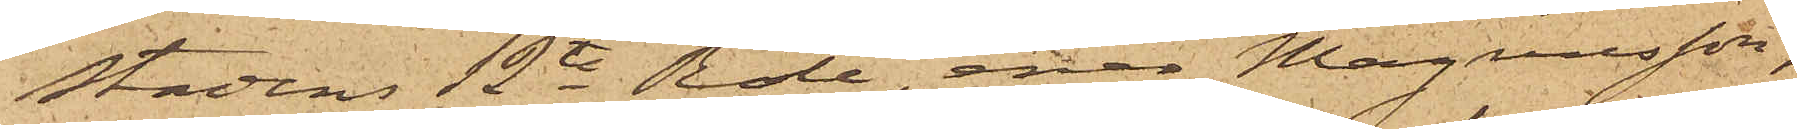Stadens 12te Rote, enär Magnusson,
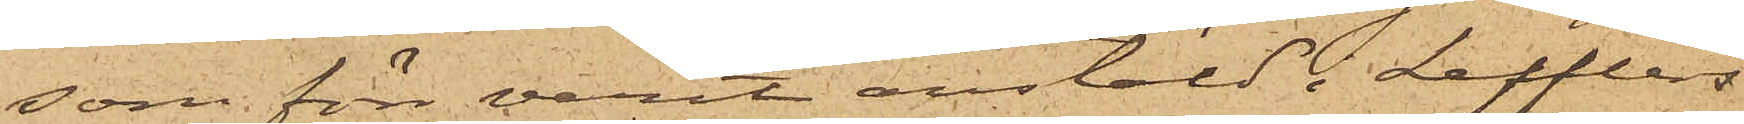som för varit anstäld i Lefflers
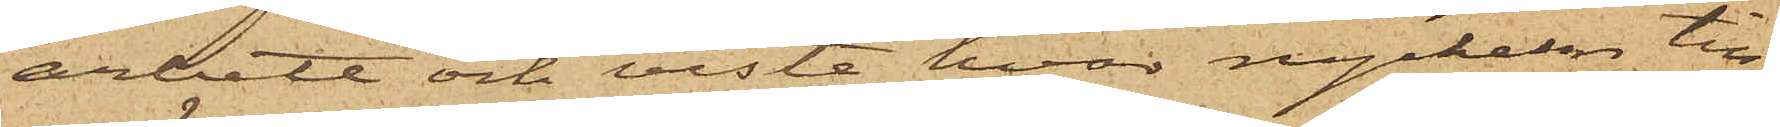arbete och viste hvar nyckeln till
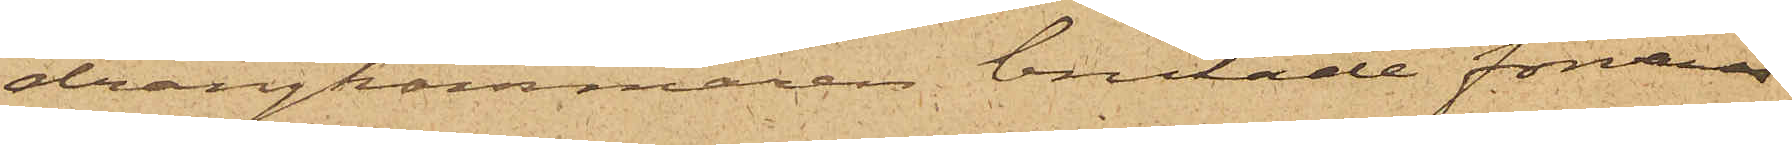drängkammaren brukade förvaras
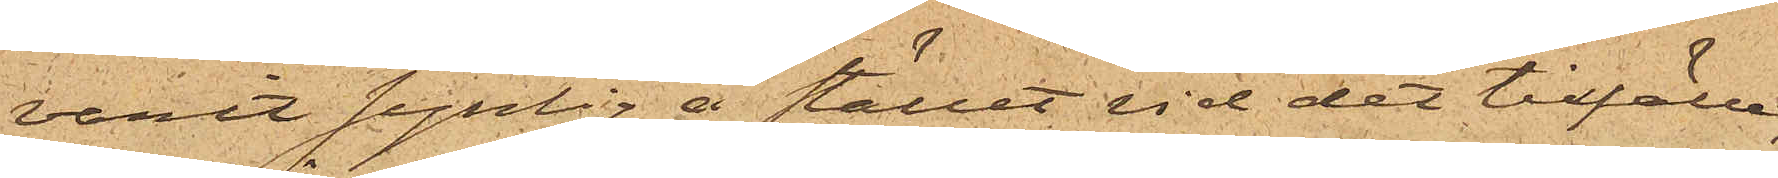varit synlig å stället vid det tillfälle,
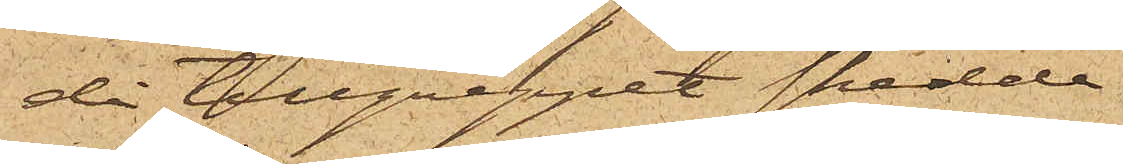då tillgreppet skedde.
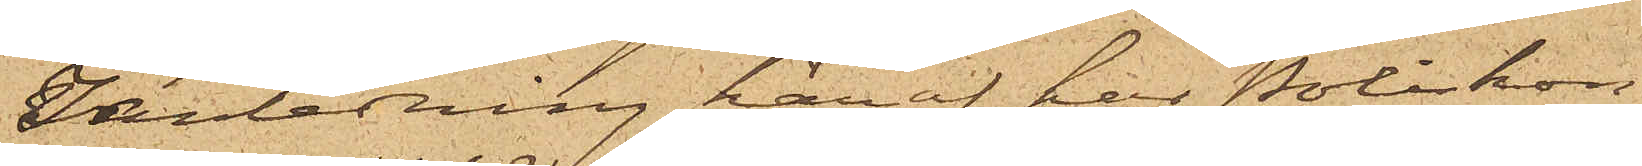I anledning häraf har Poliskon¬
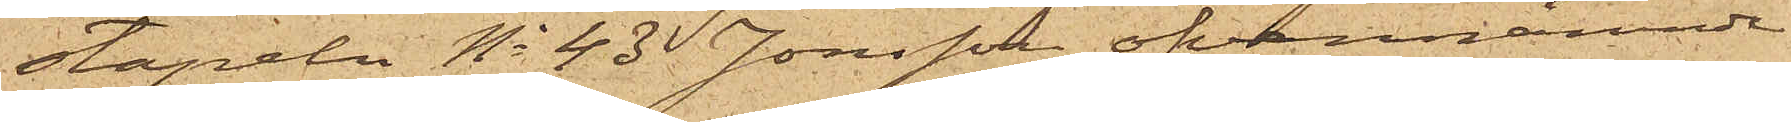stapeln No 43 Jonsson ofvannämnde
